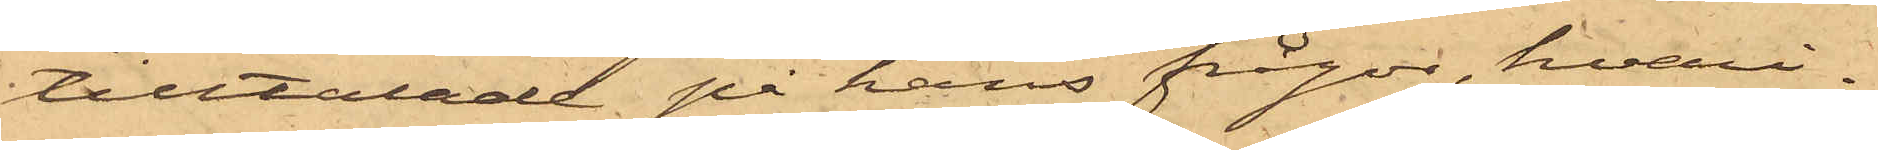tilltalade på hans frågar, hvari¬
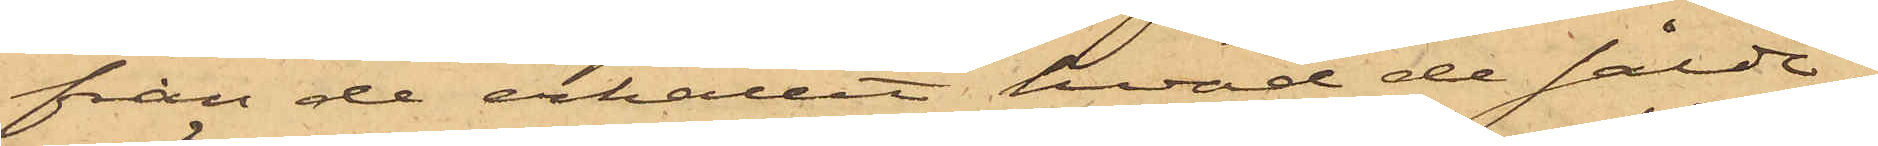från de erhållit hvad de sålde,
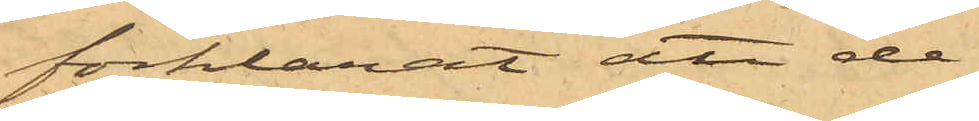förklarat att de
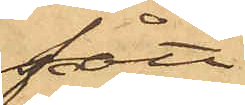fått
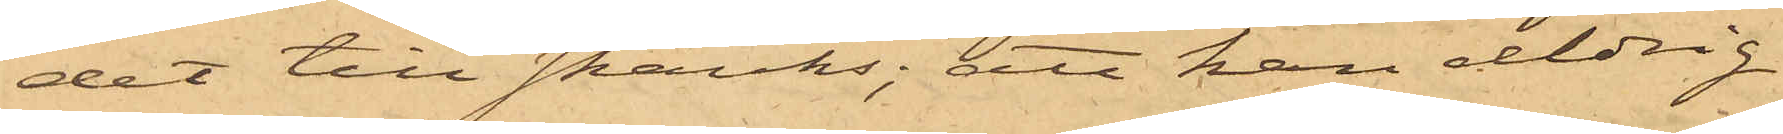det till skänks; att han aldrig
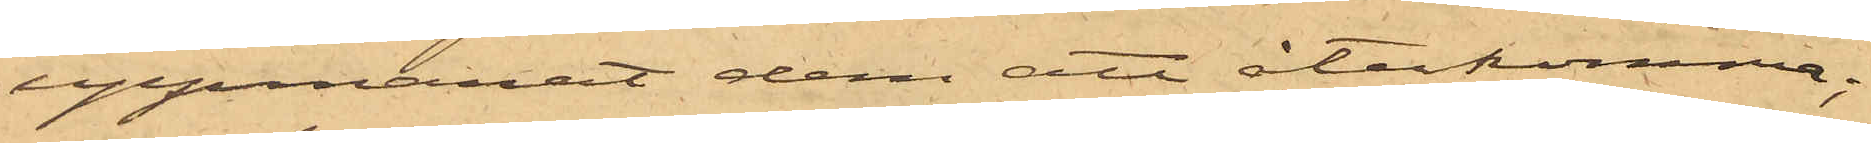uppmanat dem att återkomma;
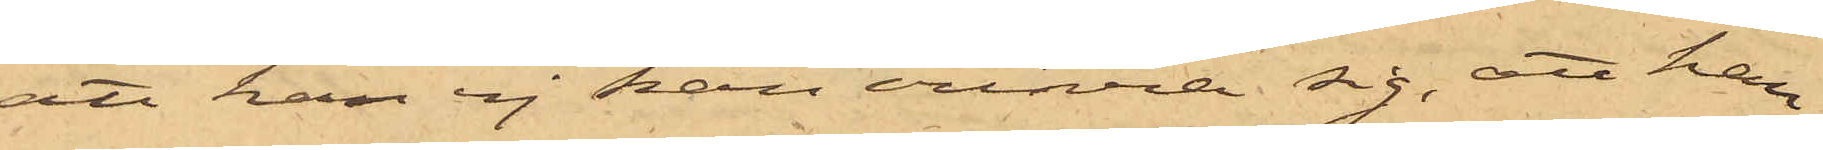att han ej kan erinra sig, att han
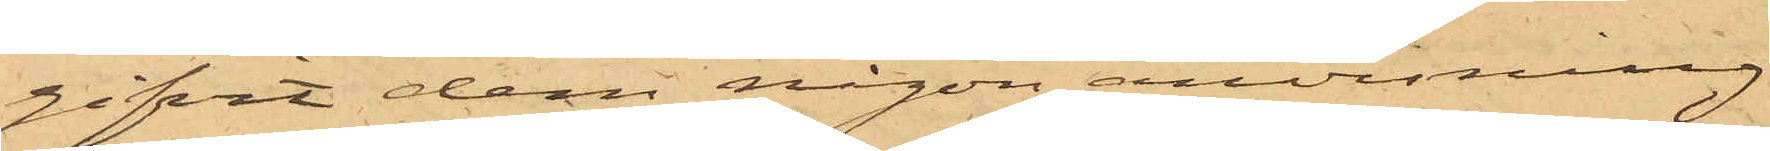gifvit dem någon anvisning
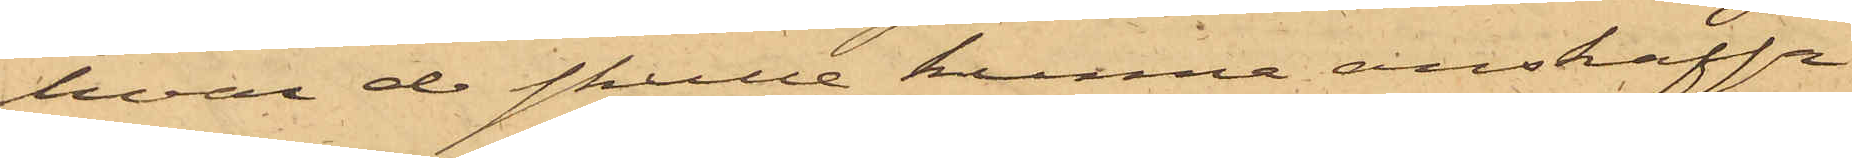hvar de skulle kunna anskaffa
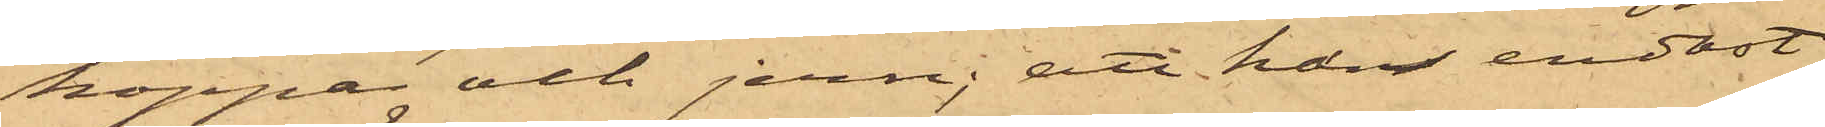koppar och jern; att han endast
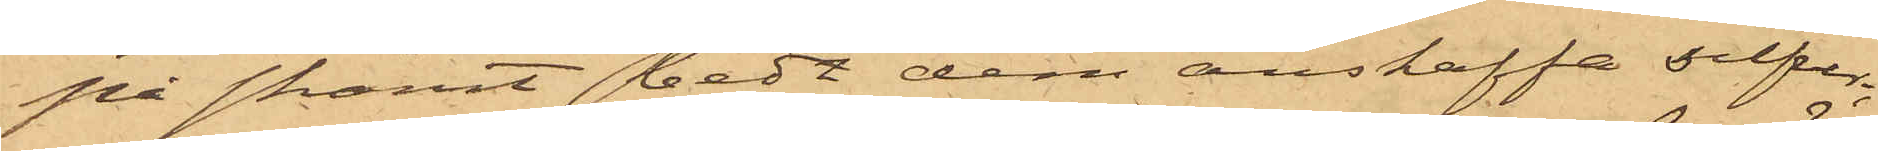på skämt bedt dem anskaffa silfver;
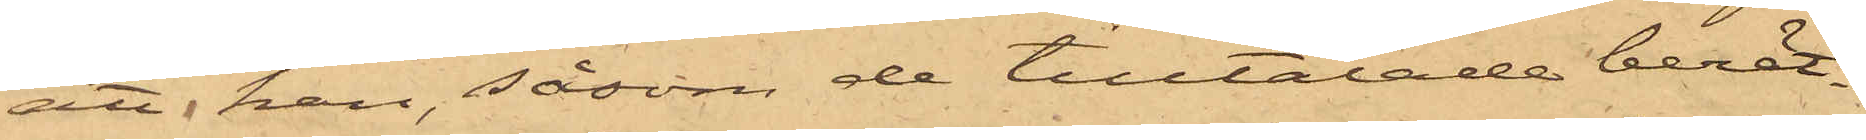att han, såsom de tilltalade berät¬
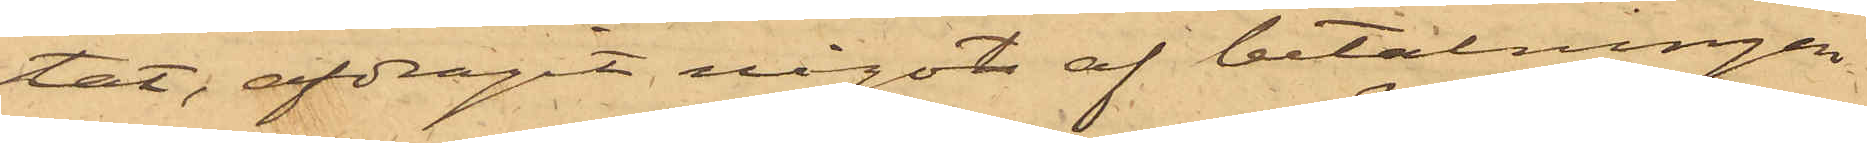tat, afdragit något af betalningen
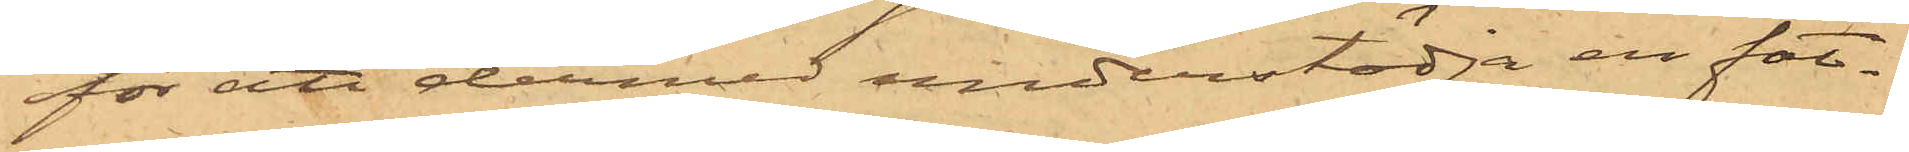för att dermed understödja en fat¬
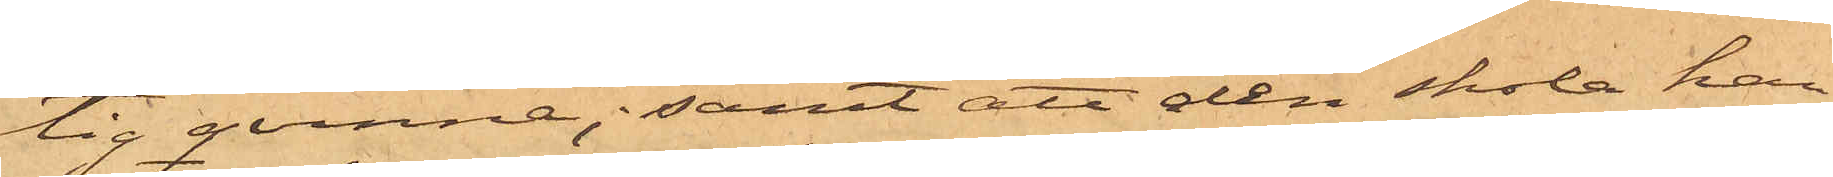tig qvinna; samt att den skola han
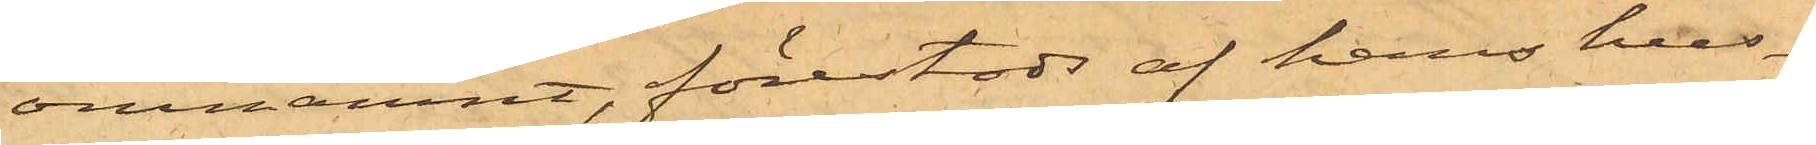omnämnt, förestods af hans hus¬
